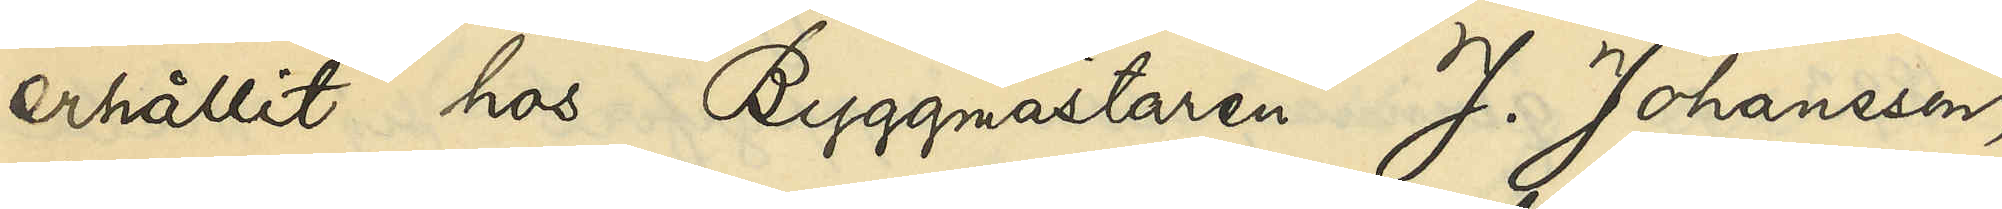erhållit hos Byggmästaren J. Johansson
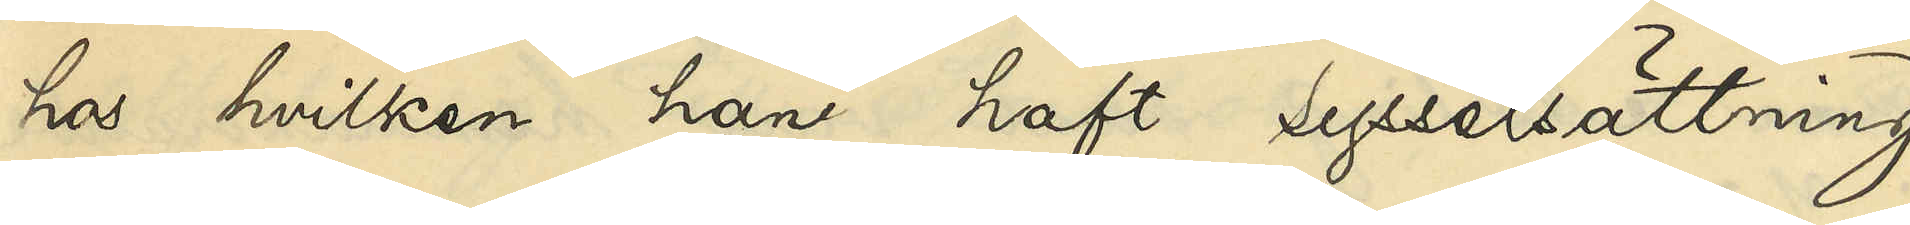hos hvilken han haft sysselsättning
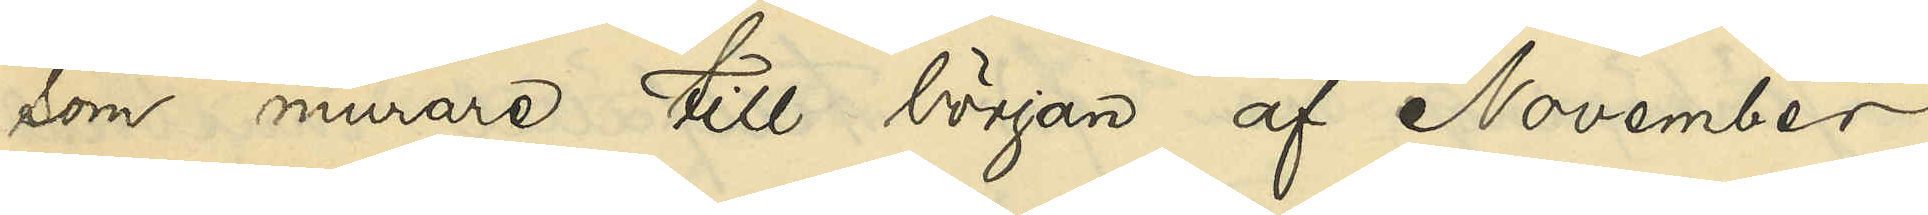som murare till början af November
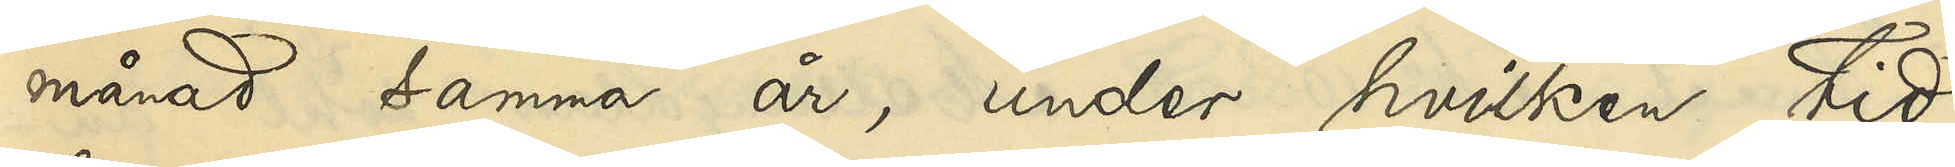månad samma år, under hvilken tid
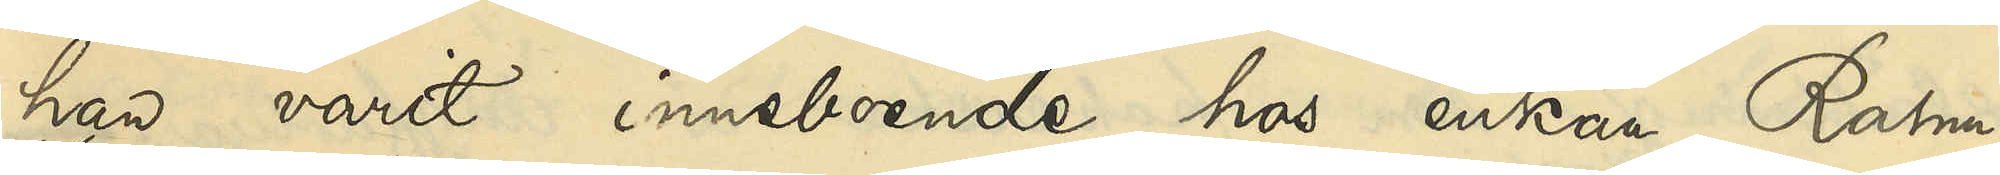han varit inneboende hos enkan Rahm;
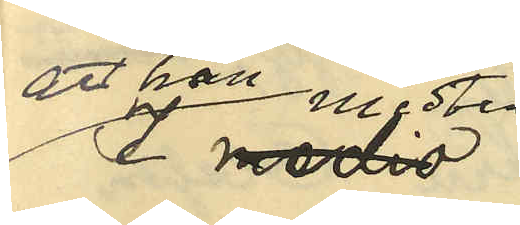att han midten
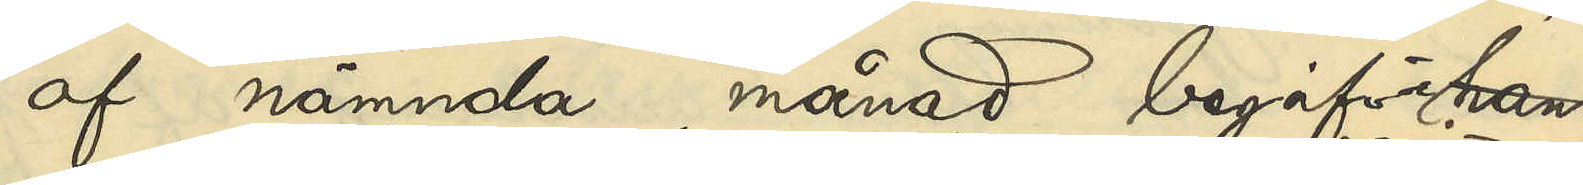af nämnda månad begifvit
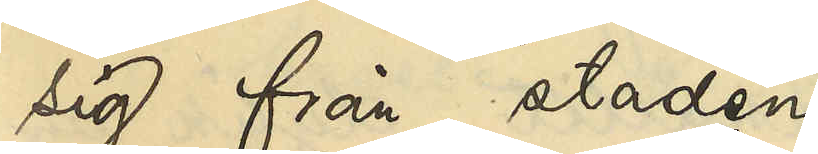sig från staden
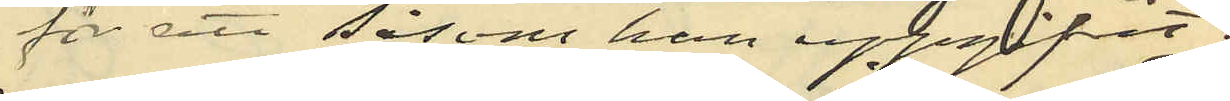för att såsom han uppgifvit
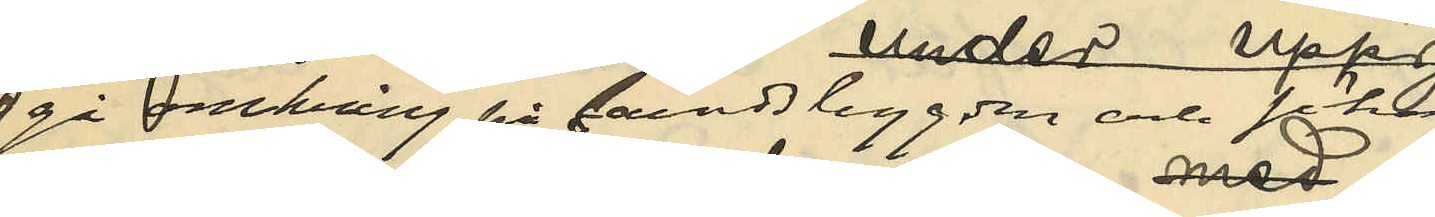gå omkring på landsbygden och söka
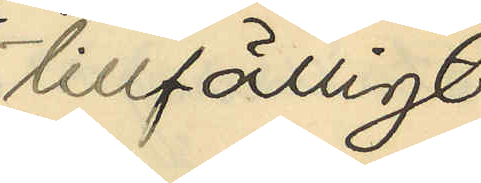tillfälligt
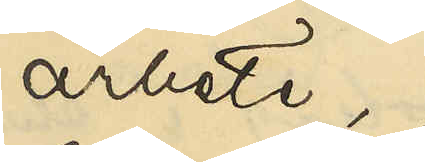arbete
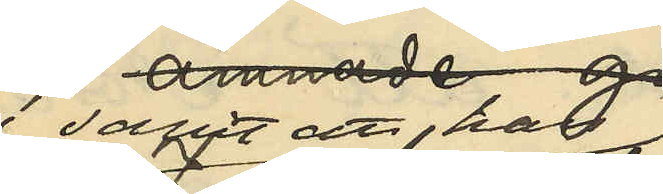samt att han 
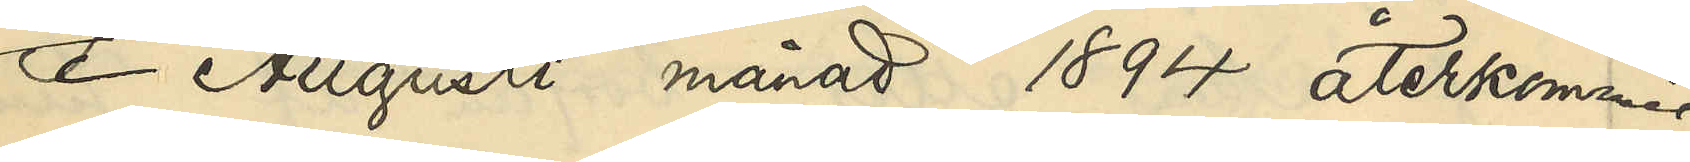i Augusti månad 1894 återkommit
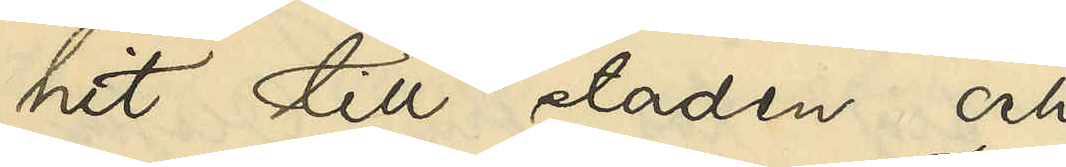hit till staden
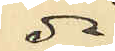då
